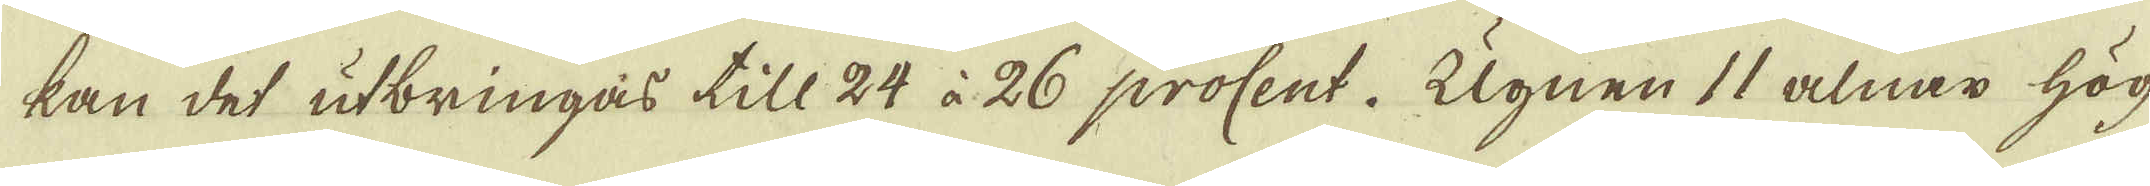kan det utbringas till 24 à 26 procent. Ugnen 11 alnar hög
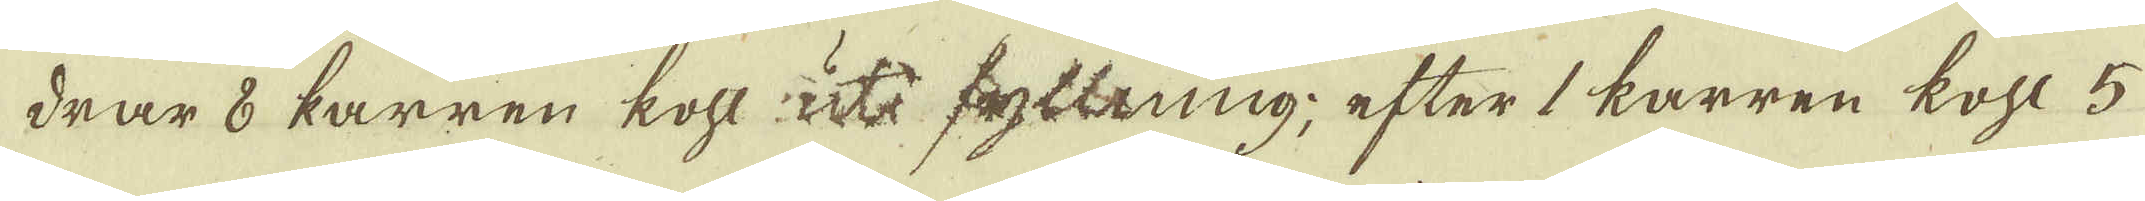drar 8 karren kohl ut fyttning, efter 1 karren kohl 5
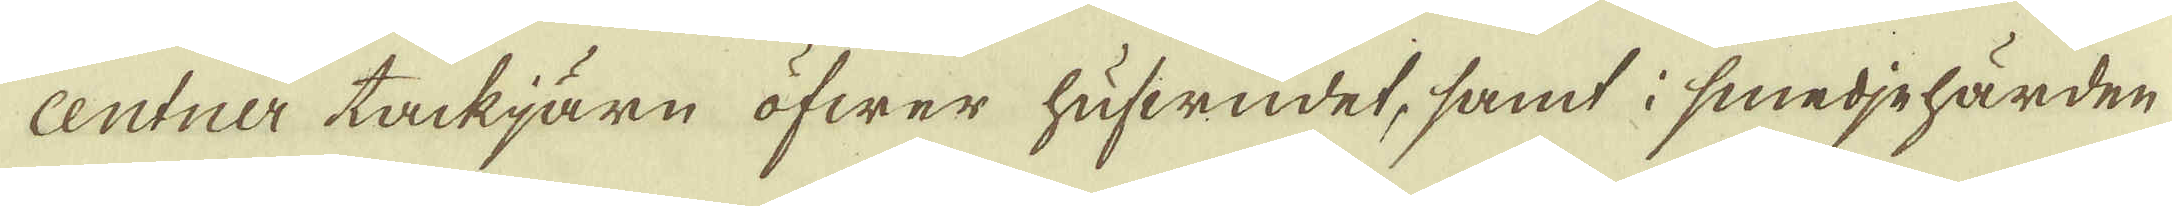centner tackjärn öfwer hufwudet, samt i smedjehärden
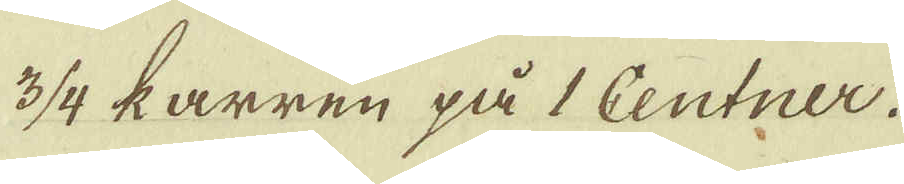3/4 karren på 1 Centner.
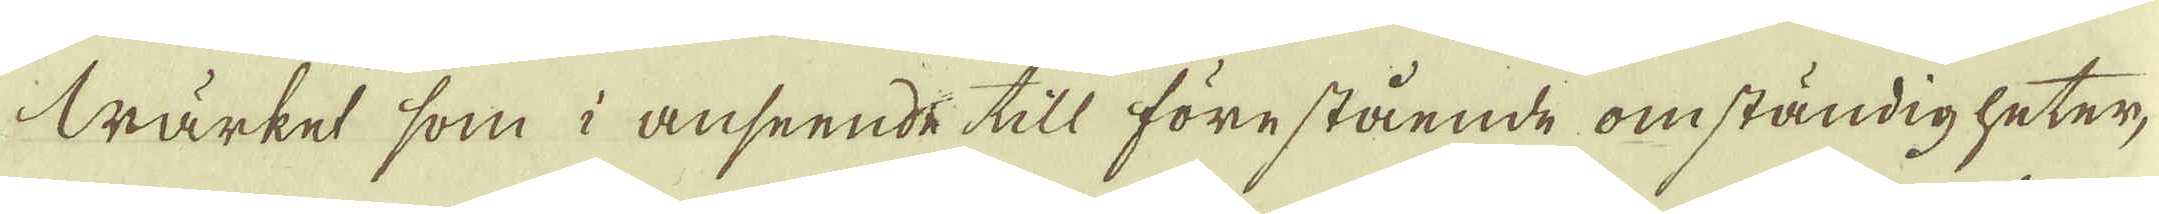Värket som i anseende till förestående omständigheter,
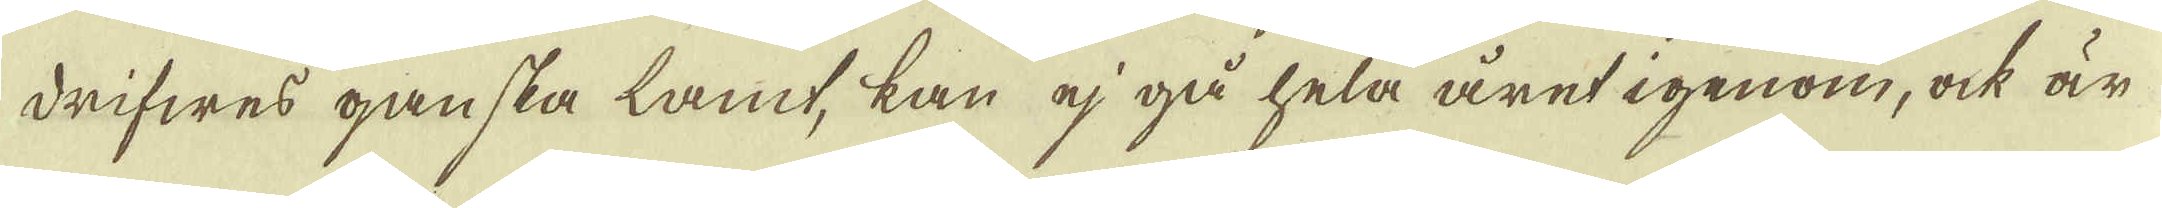drifwes ganska lamt, kan ej gå hela året igenom, ock är
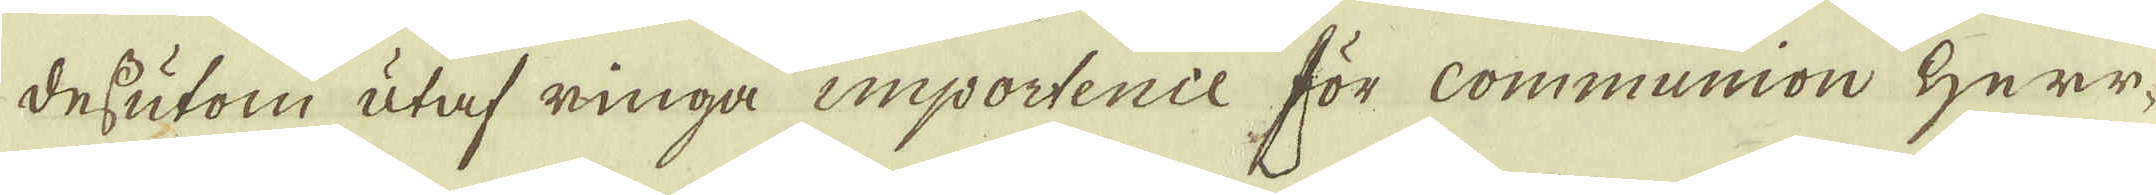dessutom utaf ringa importence för Communion Herr-
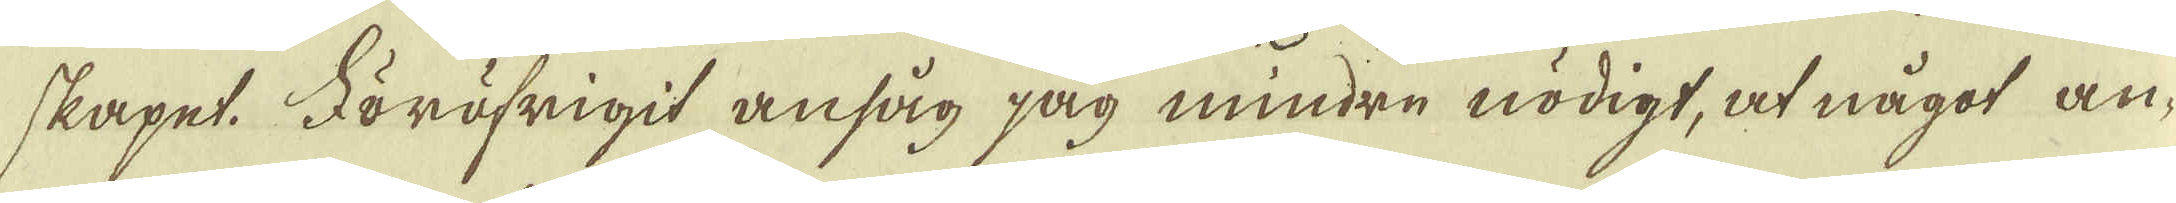skapet. Föröfrigit ansåg jag mindre nödigt, at något an-
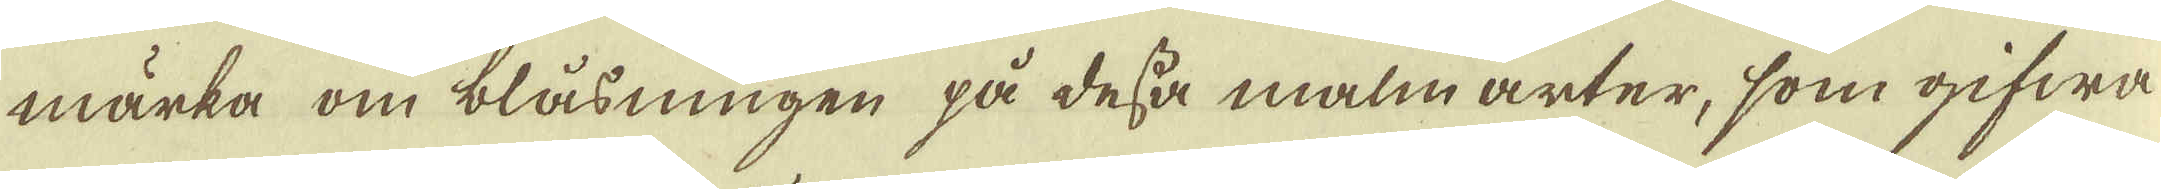märka om blåsningen på dessa malm arter, som gifwa
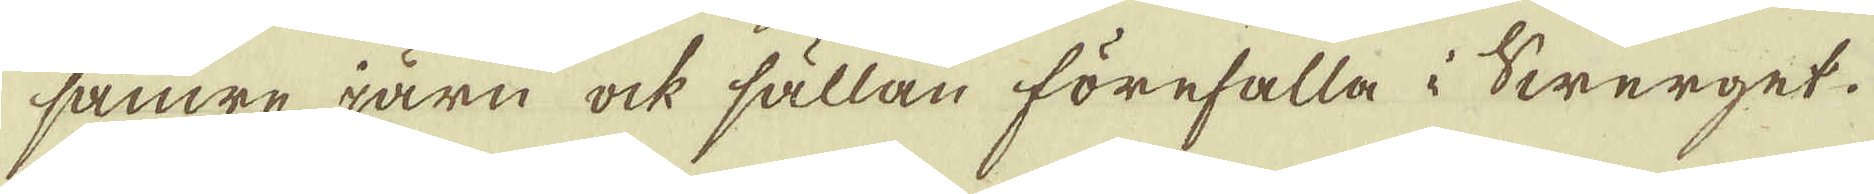sämre järn ock sällan förefalla i Swerget.
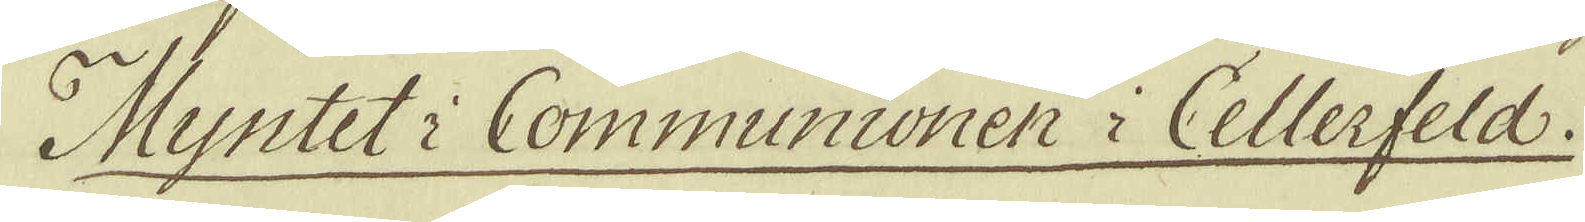Myntet i Communionen i Cellerfeld.
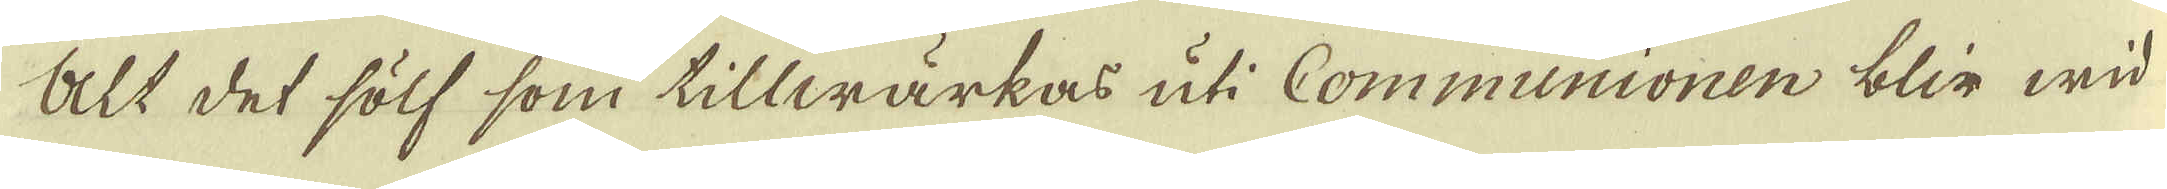Alt det sölf som tillwärkas uti Communionen blir wid
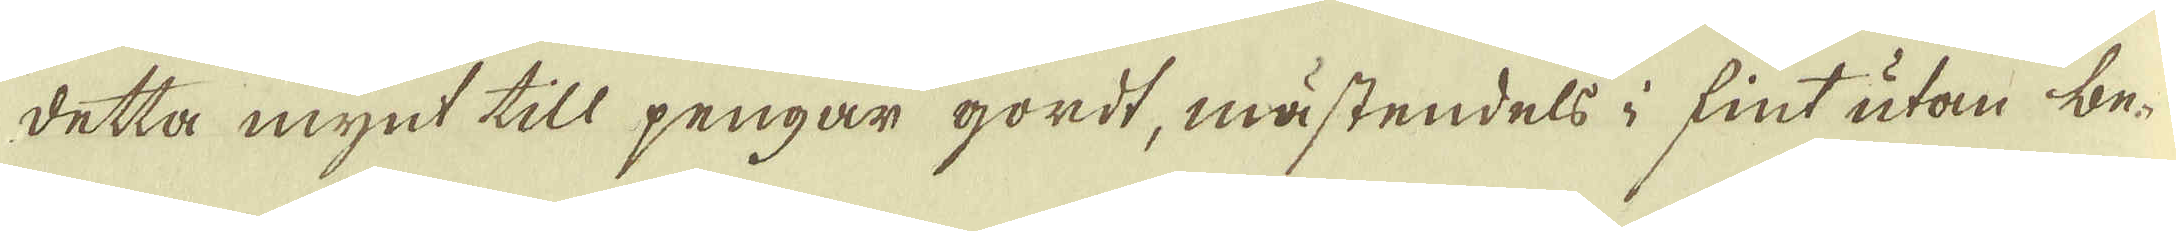detta mynt till pengar gordt, mästendels i fint utan be-
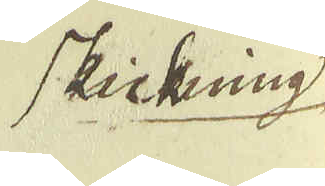skickning
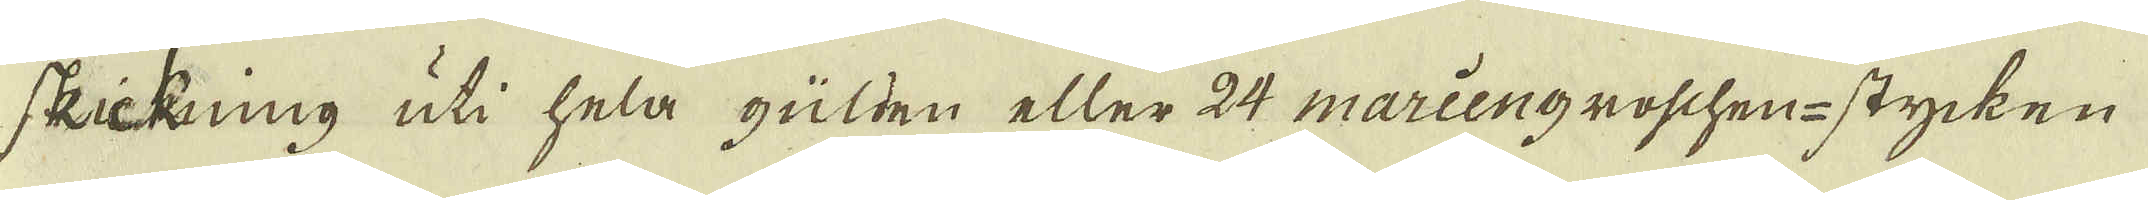skickning uti hela gülden eller 24 mariengroschen-stycken
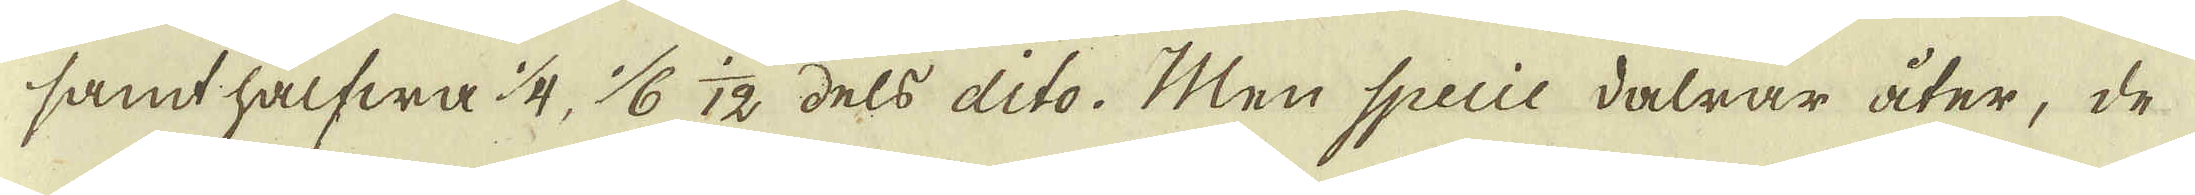samt halfwa 1/4, 1/6 12 dels dito. Men Specie dalrar åter, de
